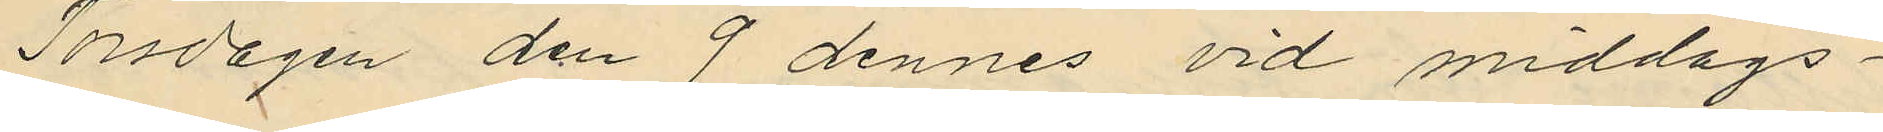Torsdagen den 9 dennes vid middags¬
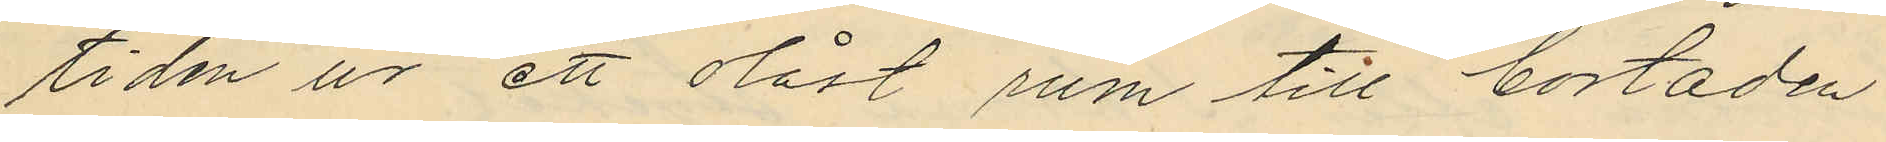tiden ur ett olåst rum till bostaden
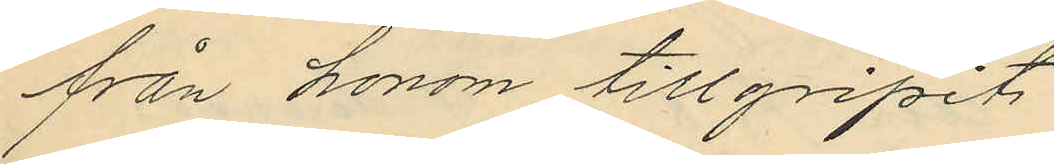från honom tillgripits
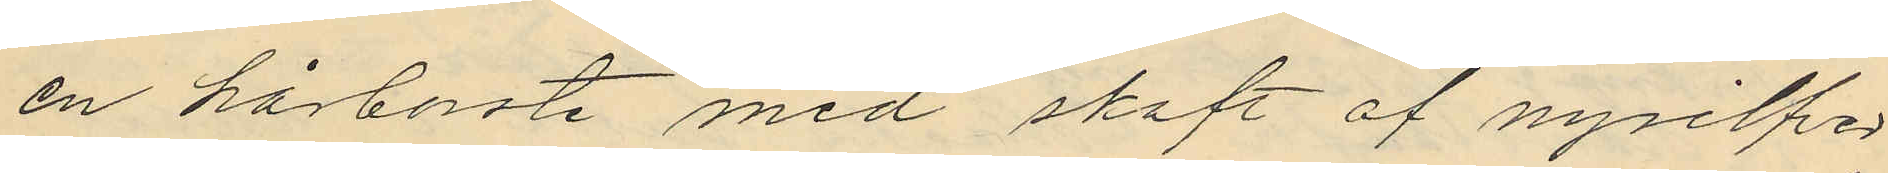en hårborste med skaft af nysilfer
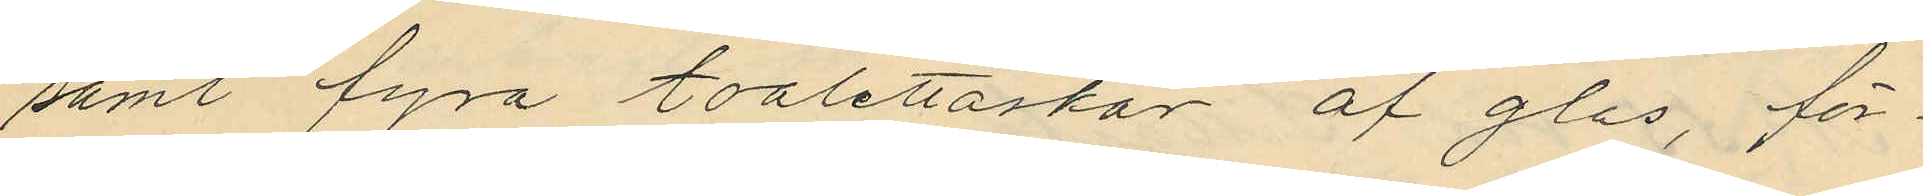samt fyra toalettaskar af glas, för¬
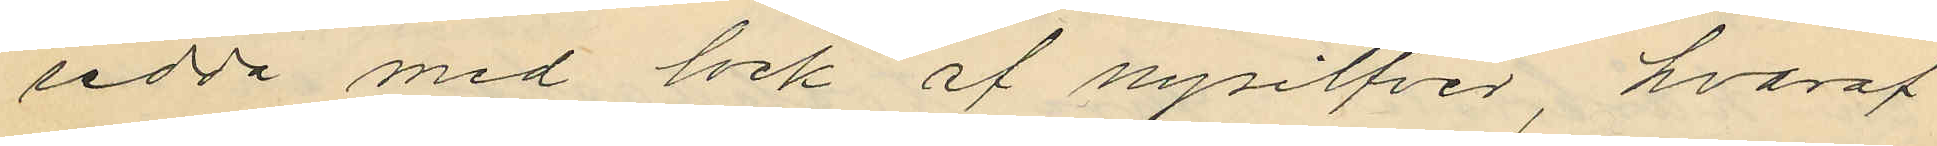sedda med lock af nysilfver, hvaraf
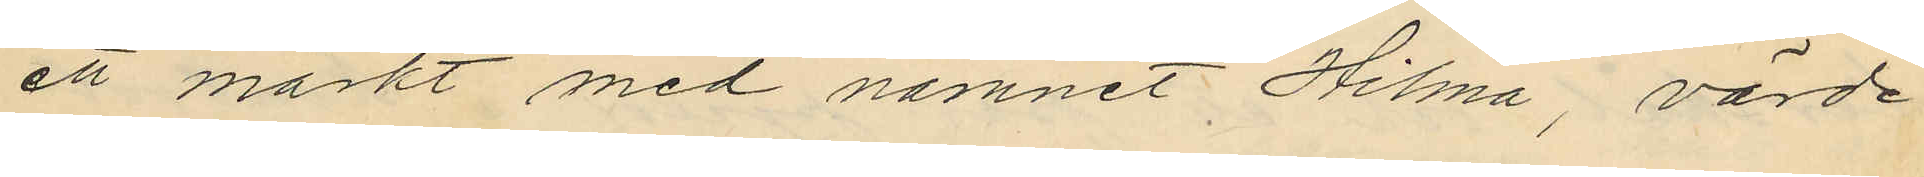ett märkt med namnet Hilma, värde
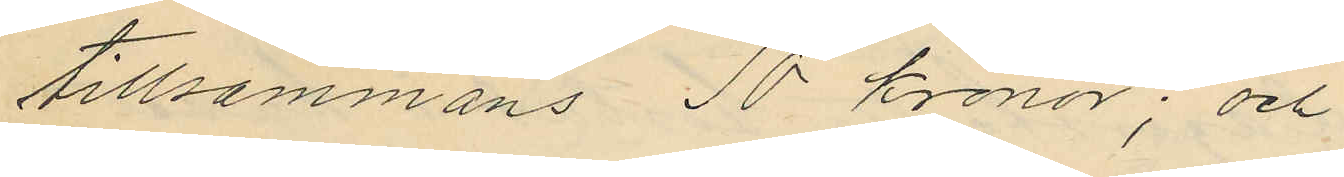tillsammans 10 kronor; och
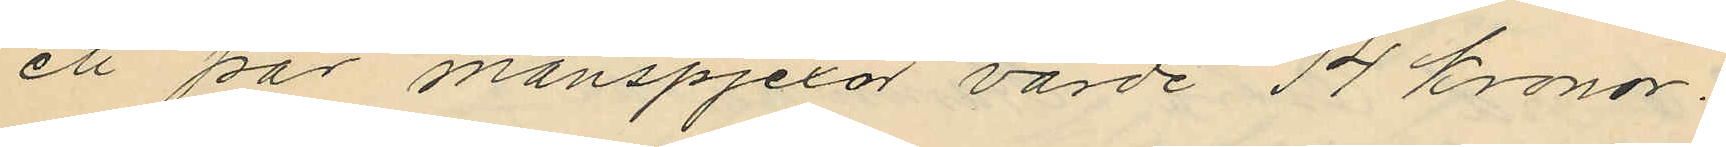ett par manspjexor värde 14 kronor.
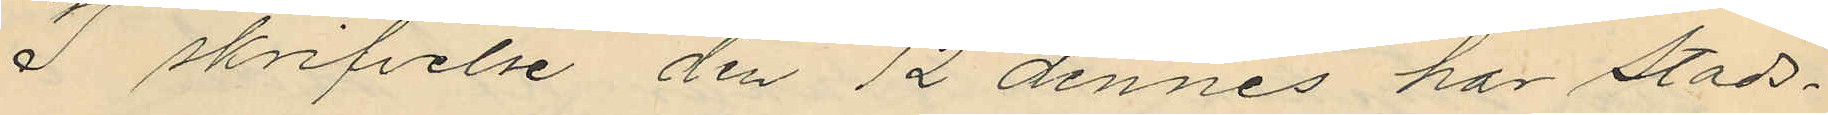I skrifvelse den 12 dennes har Stads¬
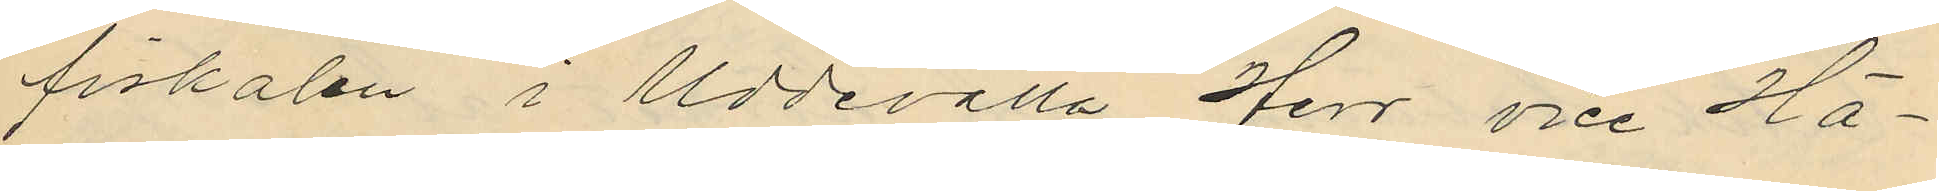fiskalen i Uddevalla Herr vice Hä¬
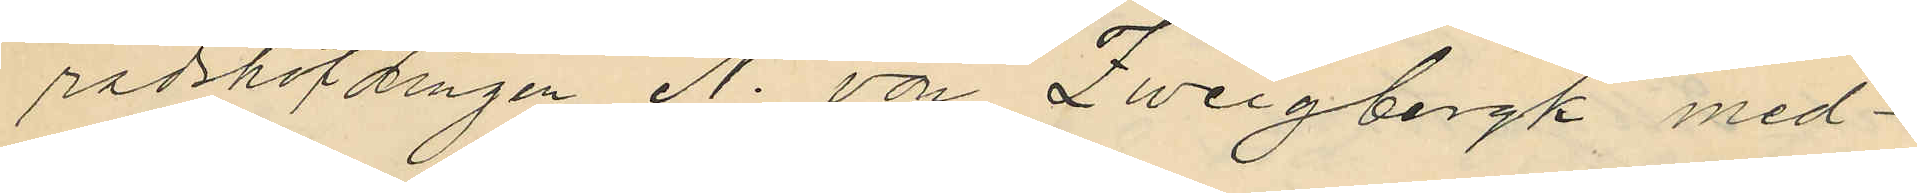radshöfdingen N. von Zweigbergk med¬
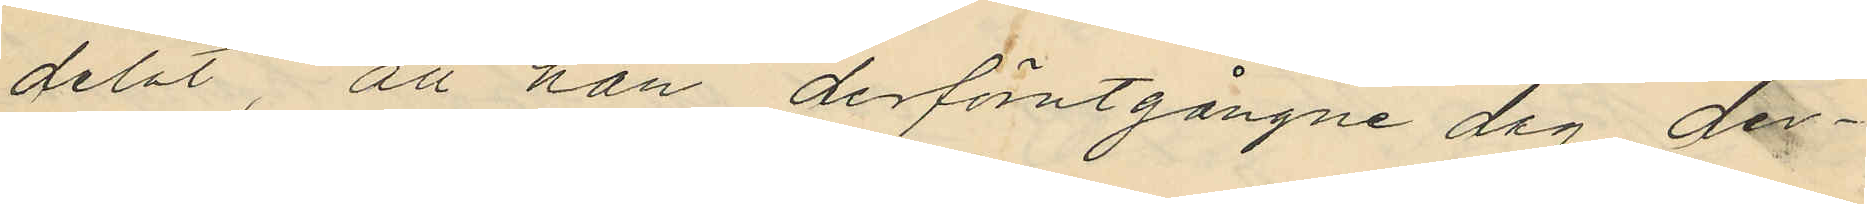delat, att han derförutgångne dag der¬
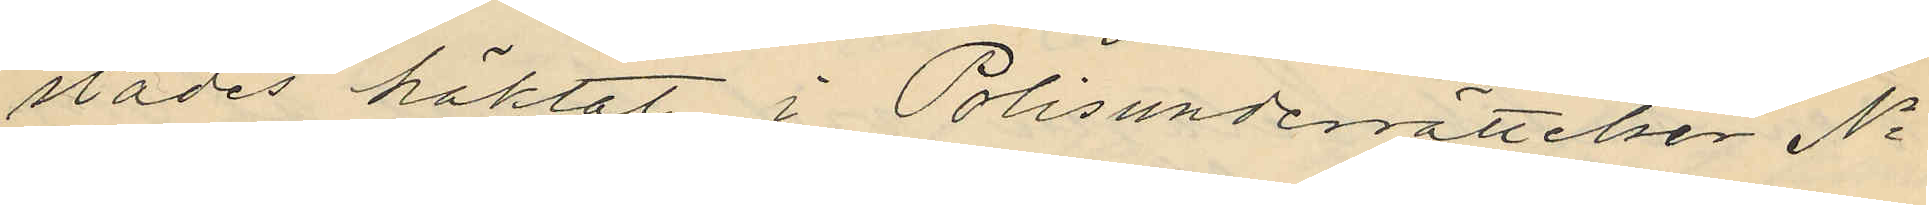städes häktat i Polisunderrättelser No
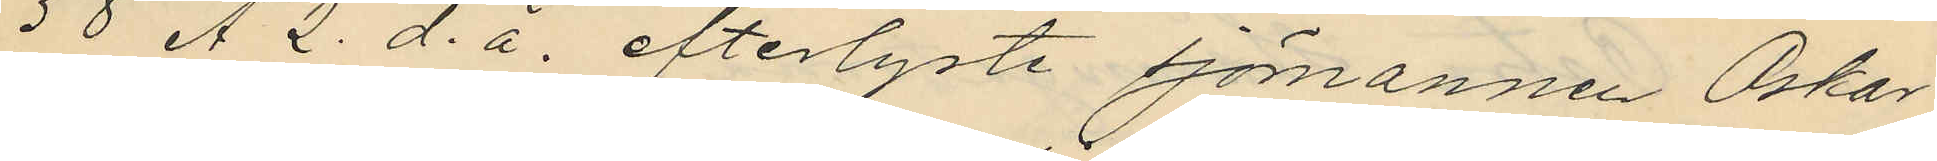58 A 2. d. å. efterlyste sjömannen Oskar
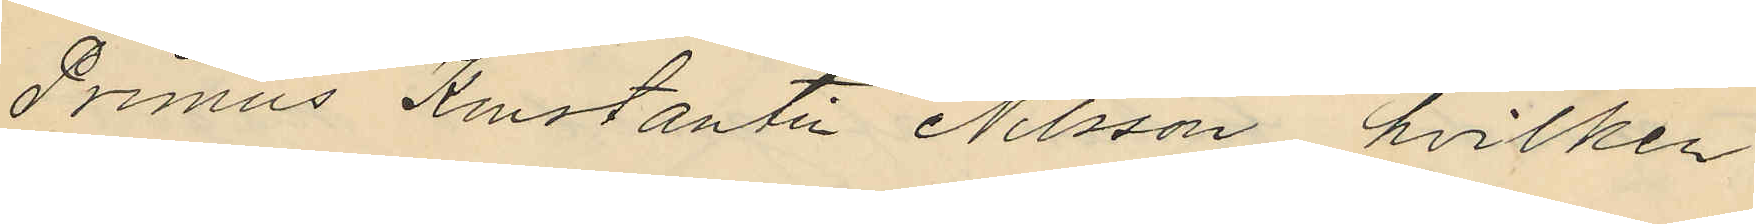Primus Konstantin Nilsson, hvilken
